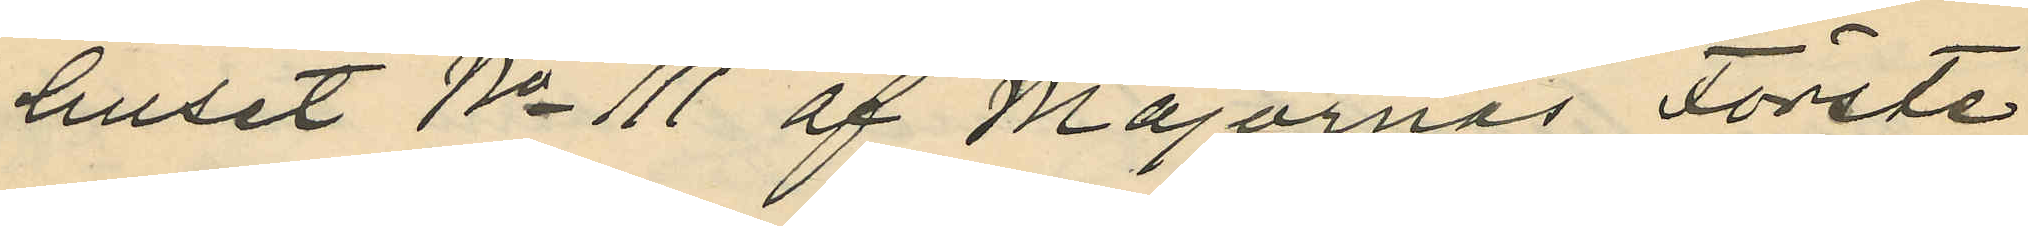huset No 111 af Majornas Förste
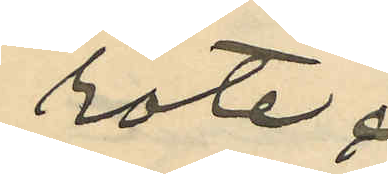rote.
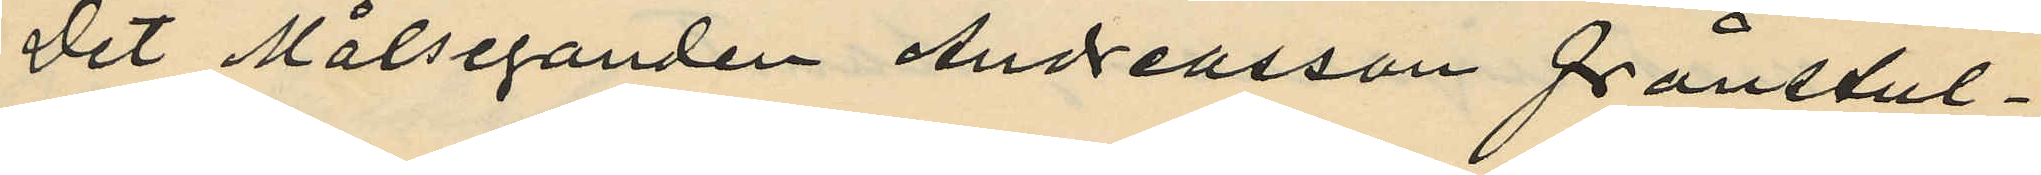Det Målseganden Andreasson frånstul¬
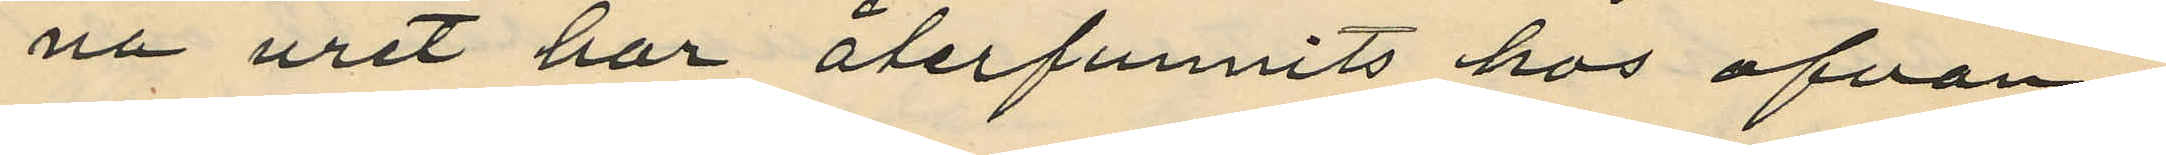na uret har återfunnits hos ofvan¬
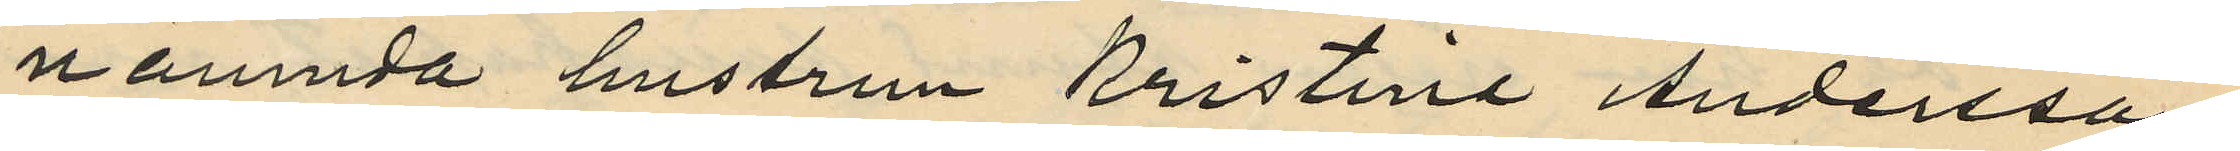nämnda hustrun Kristina Andersson,
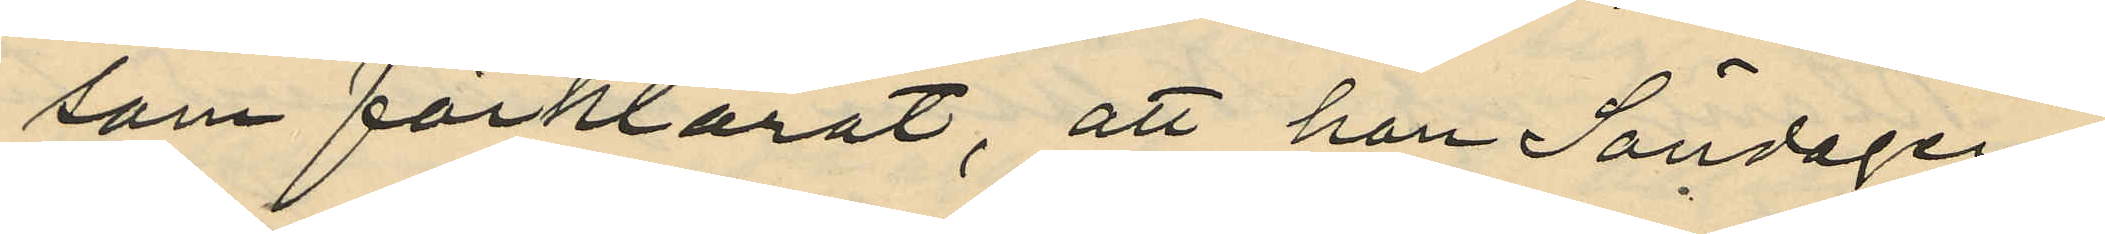som förklarat, att hon Söndagen
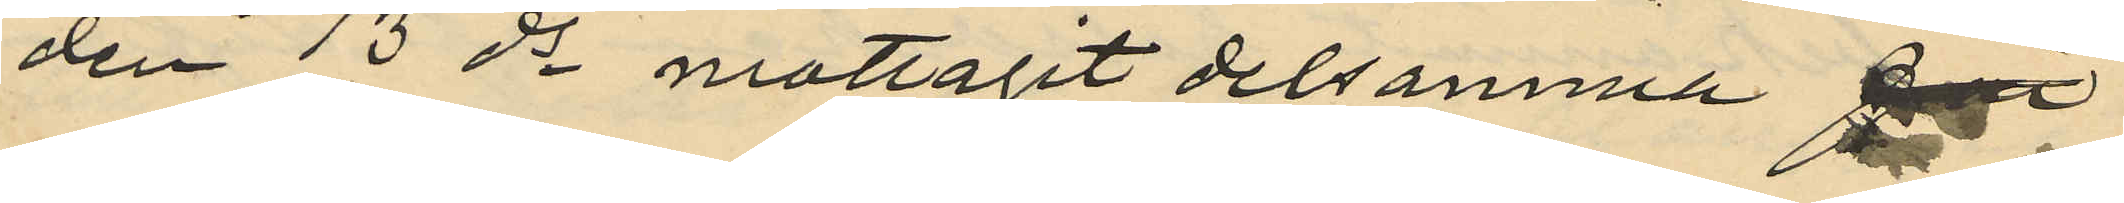den 13 ds mottagit detsamma
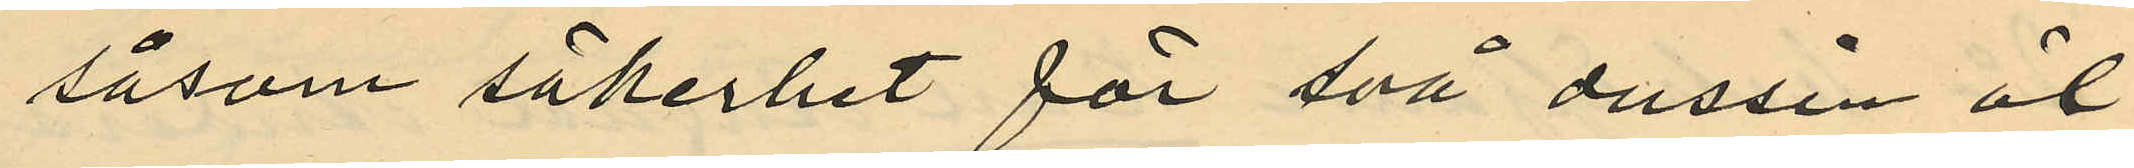såsom säkerhet för två dussin öl
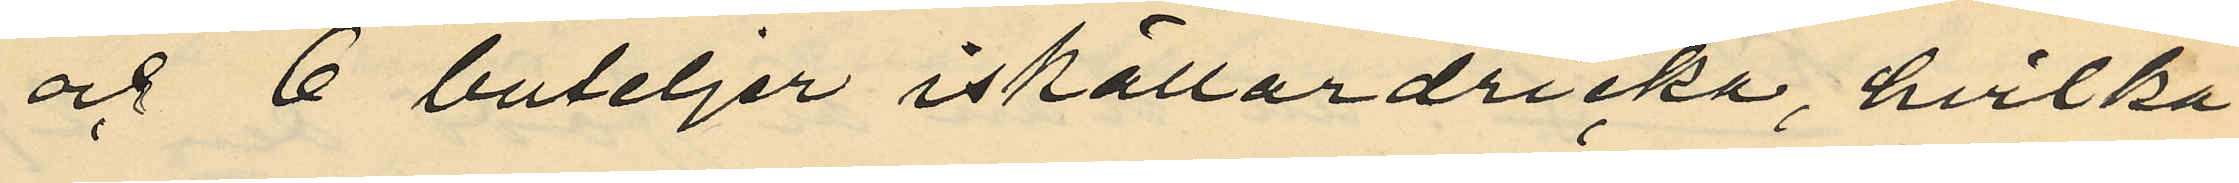och 6 buteljer iskällardricka, hvilka
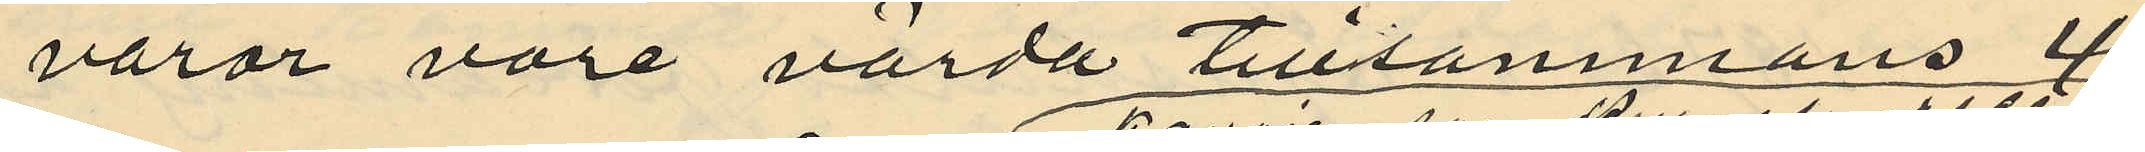varor vore värda tillsammans 4
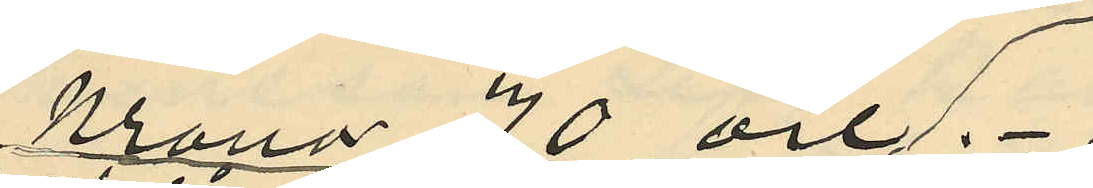Kronor 70 öre.
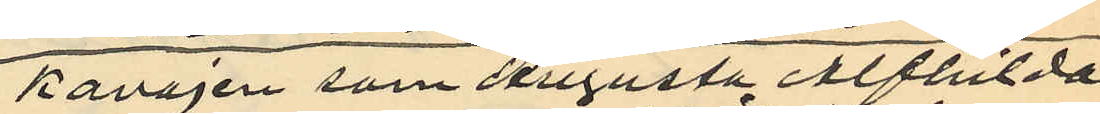Kavajen som Augusta Alfhilda
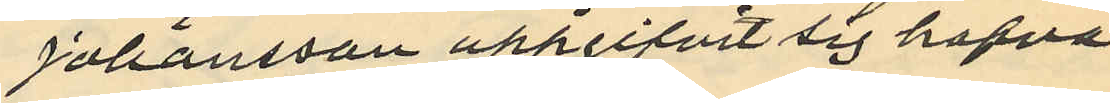Johansson uppgifvit sig hafva
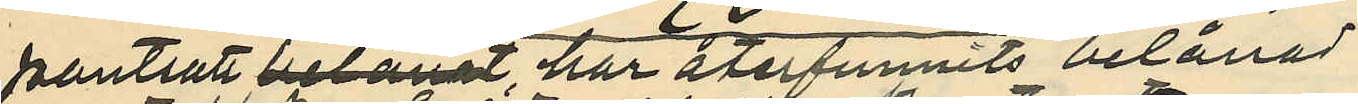pantsatt belånat, har återfunnits belånad
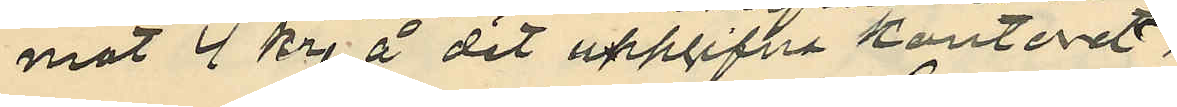mot 4 kr. å det uppgifna kontoret.
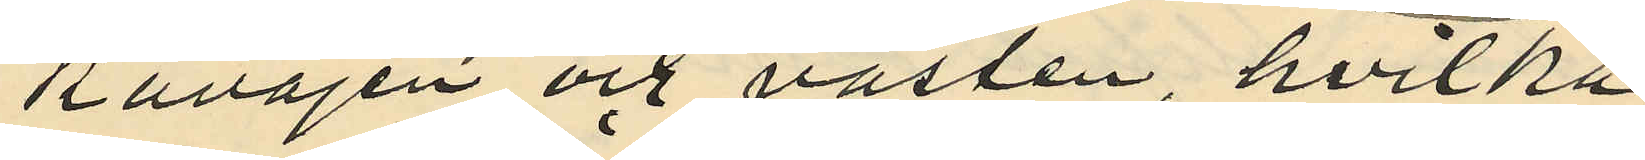Kavajen och västen, hvilka
